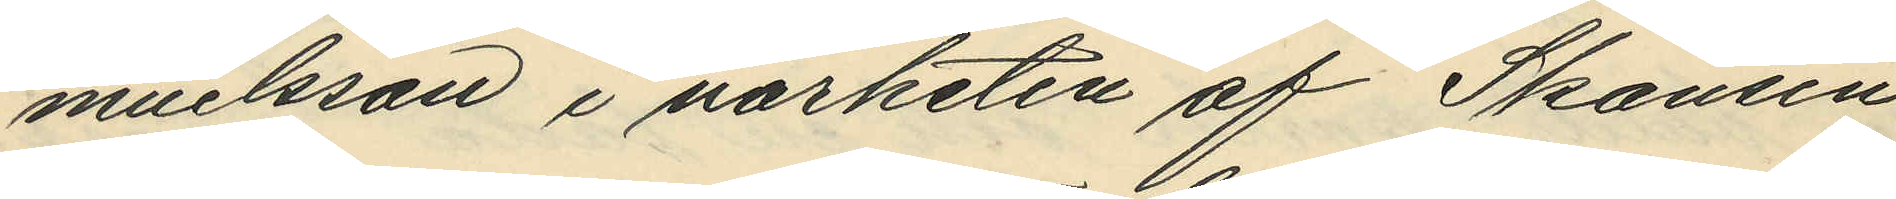muelsson i närheten af Skansen
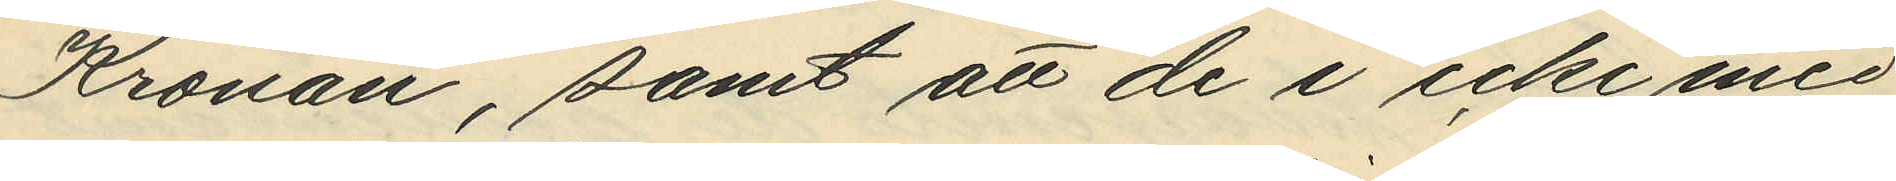Kronan, samt att de i icke med
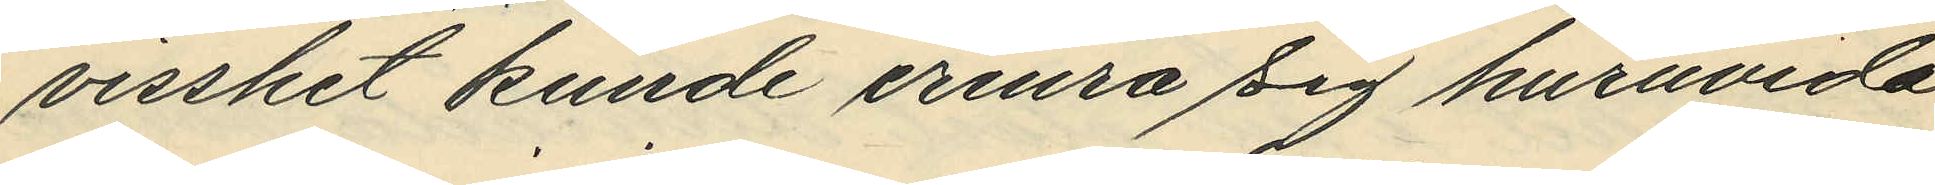visshet kunde erinra sig huruvida
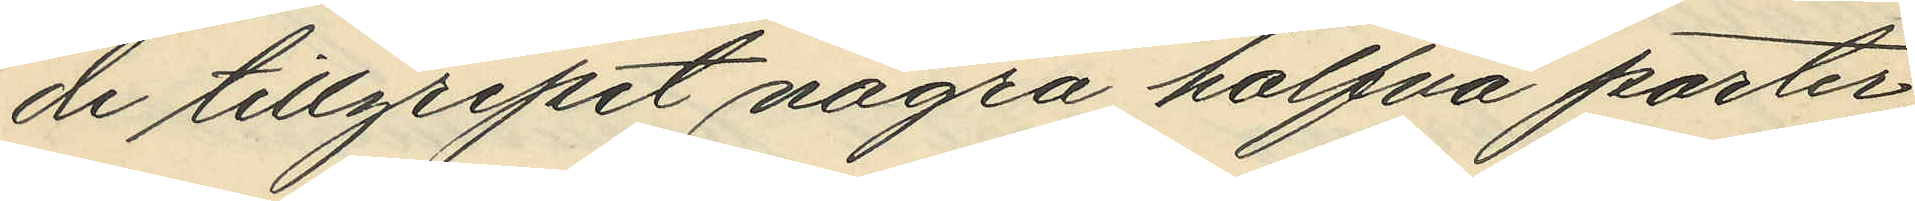de tillgripit nagra halfva porter,
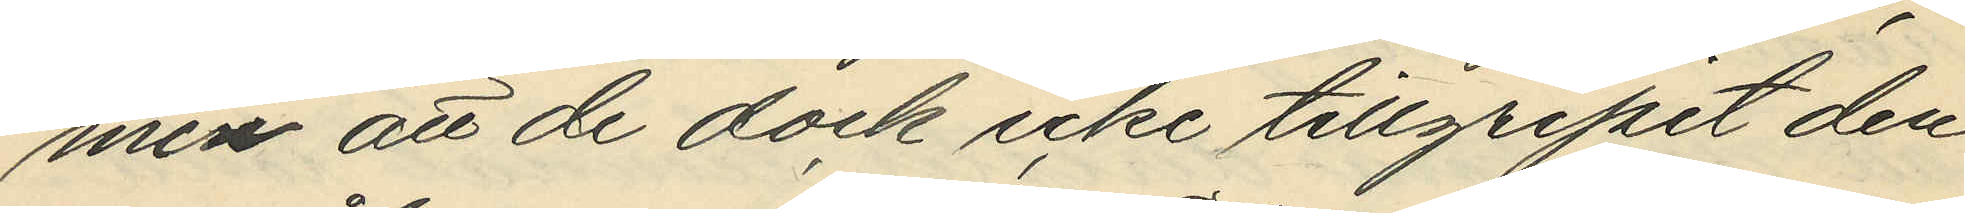men att de dock icke tillgripit den
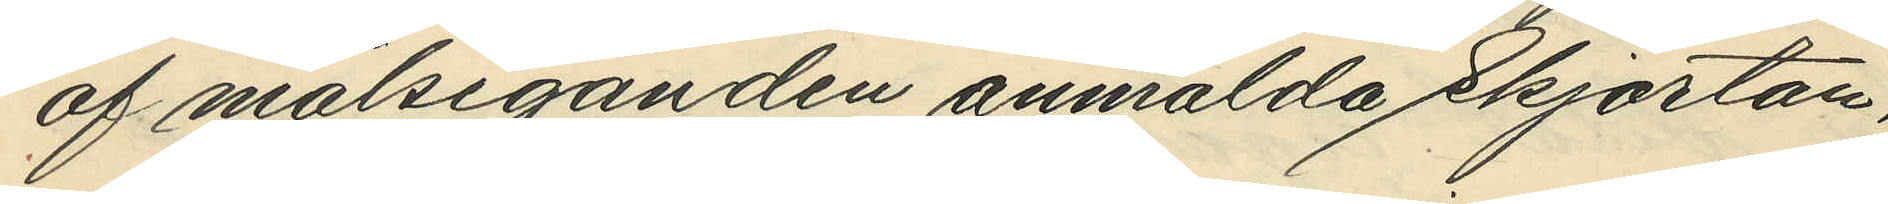af målseganden anmälda Skjortan,
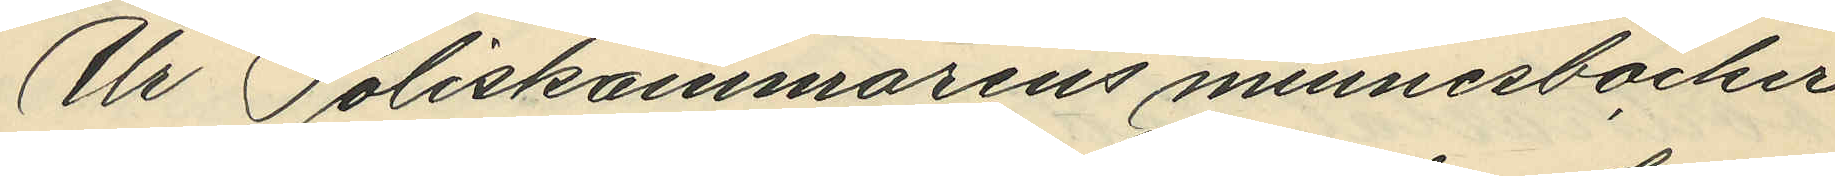Ur Poliskammarens minnesböcker
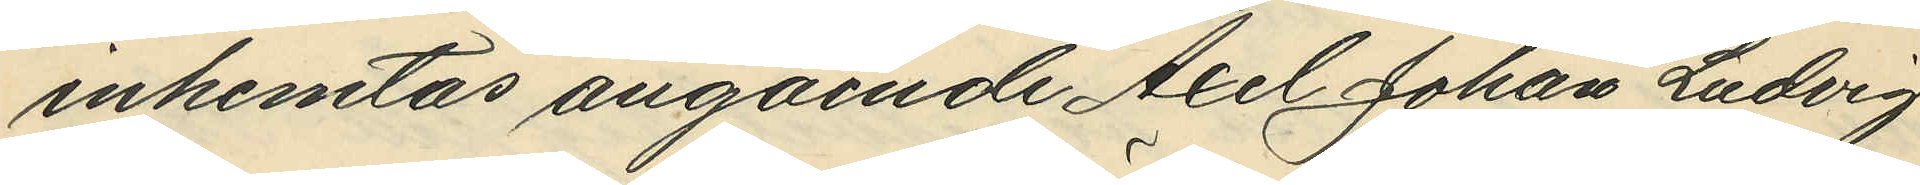inhemtas angående Axel Johan Ludvig
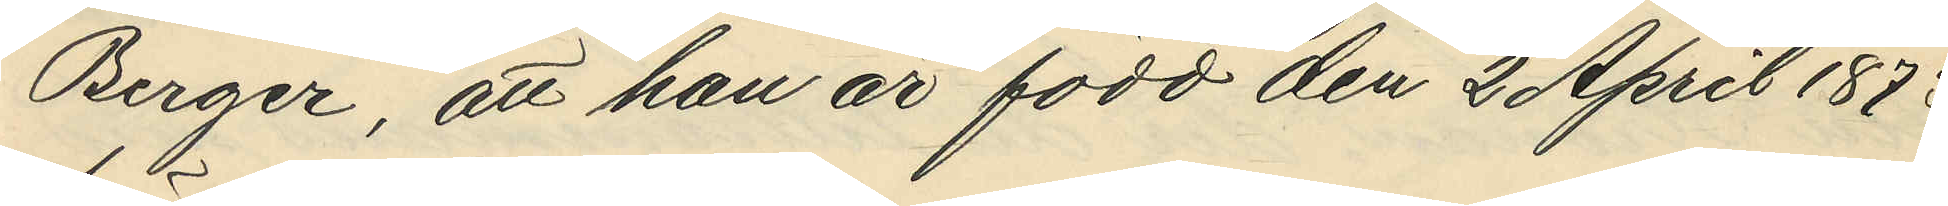Berger, att han är född den 2 April 1973
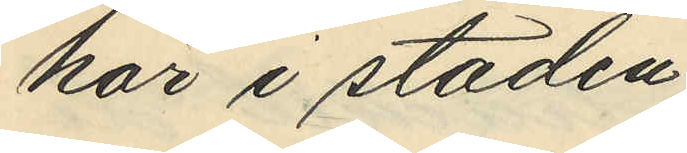här i staden;
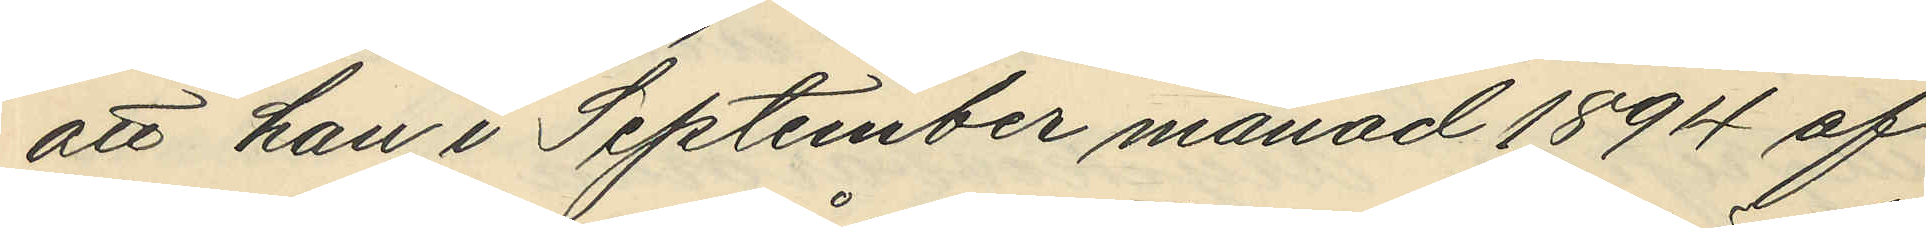att han i September månad 1894 af
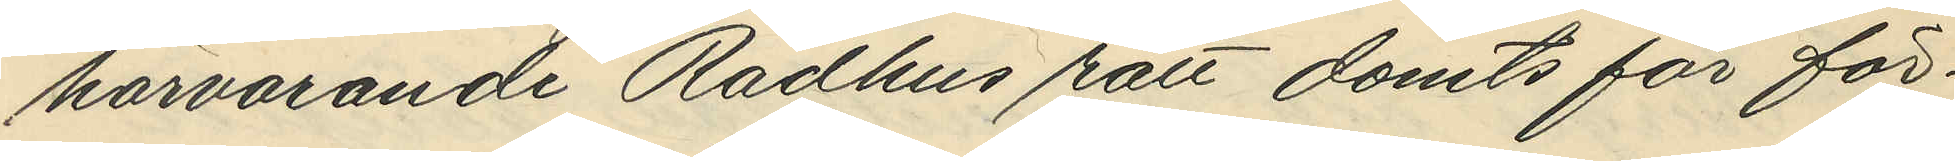härvarande Rådhus rätt dömts för för¬
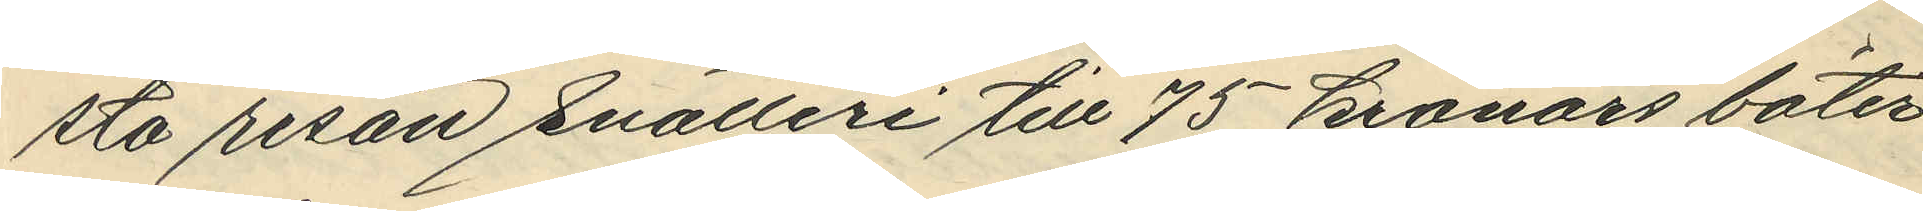sta resan snatteri till 75 kronors böter
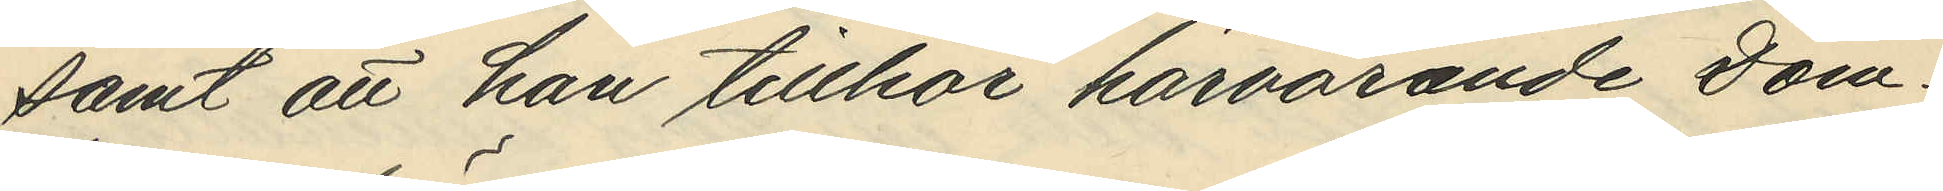samt att han tillhör härvarande Dom¬
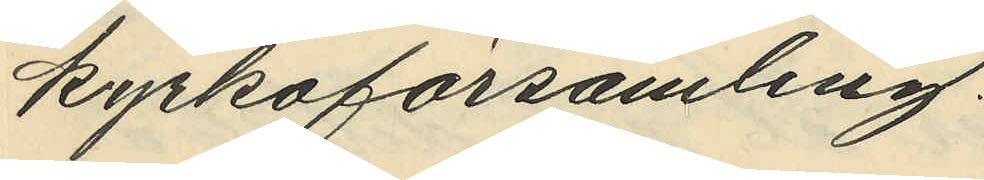kyrkoförsamling.
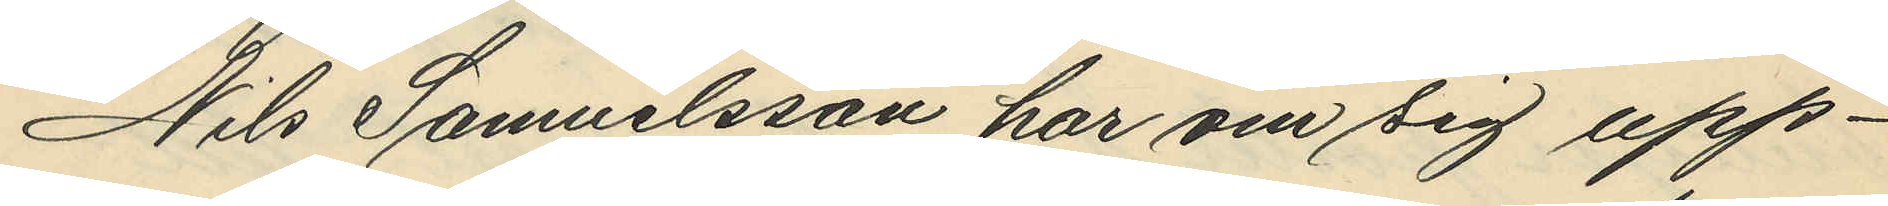Nils Samuelsson har om sig upp¬
